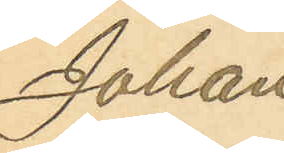Johan
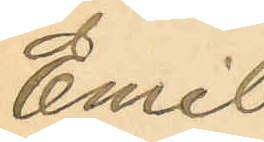Emil
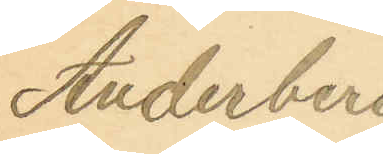Anderberg
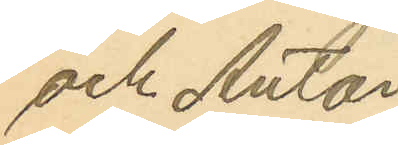och Anton
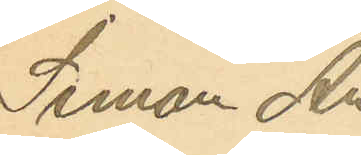Simon An¬
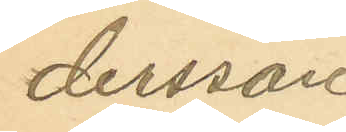dersson
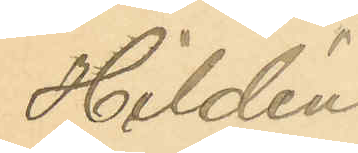Hildén.
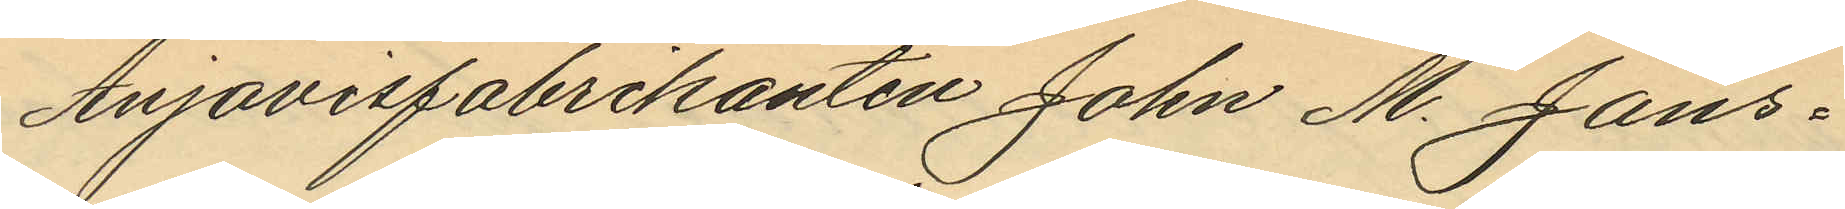Anjovisfabrikanten John M. Jans¬
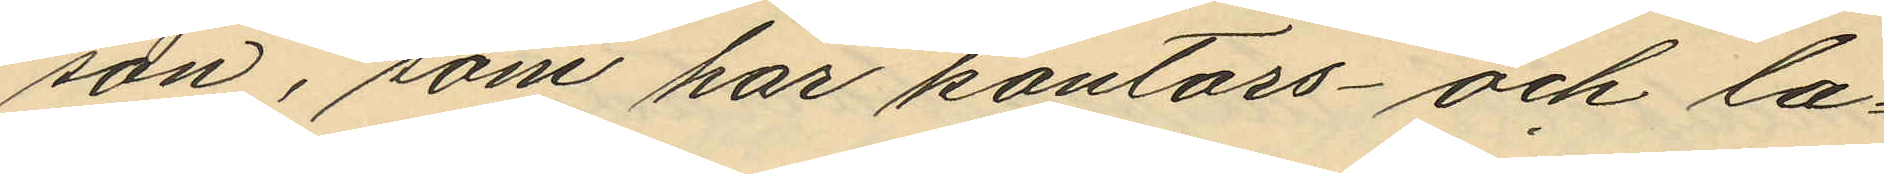son, som har kontors- och la¬
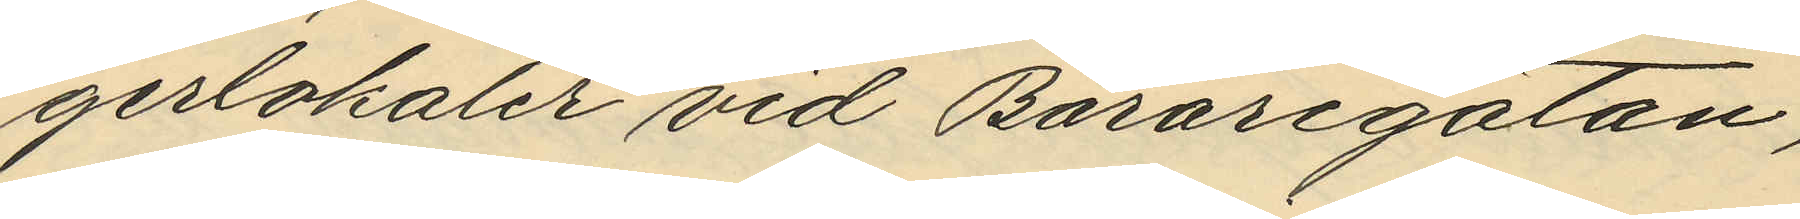gerlokaler vid Bäraregatan,
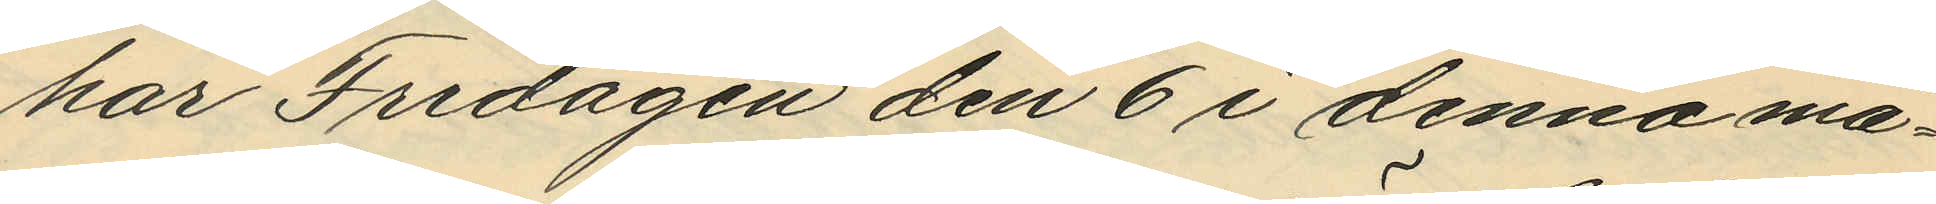har Fredagen den 6 i denna må¬
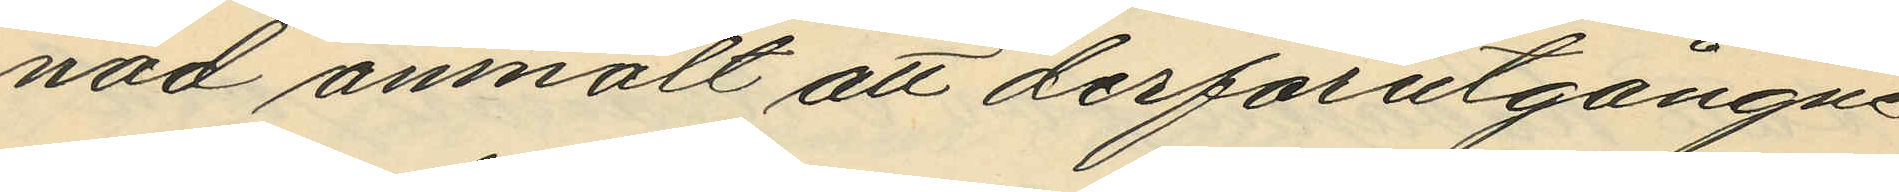nad anmält att derförutgångne
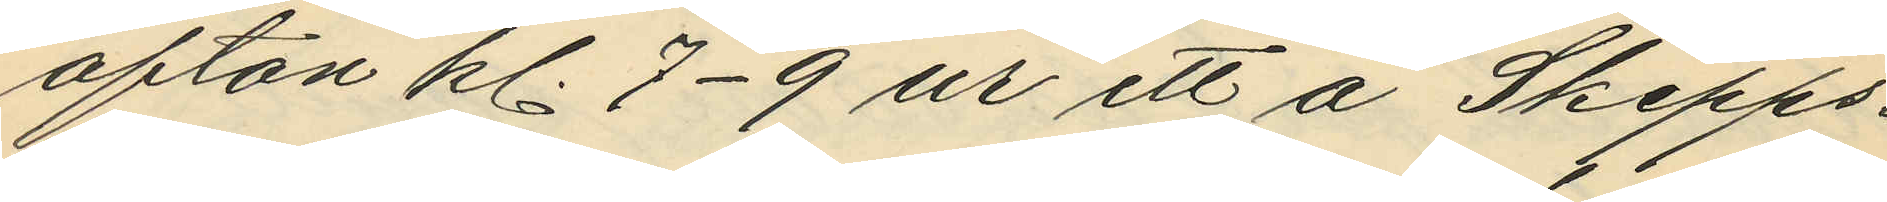afton kl. 7-9 ur ett å Skepps¬
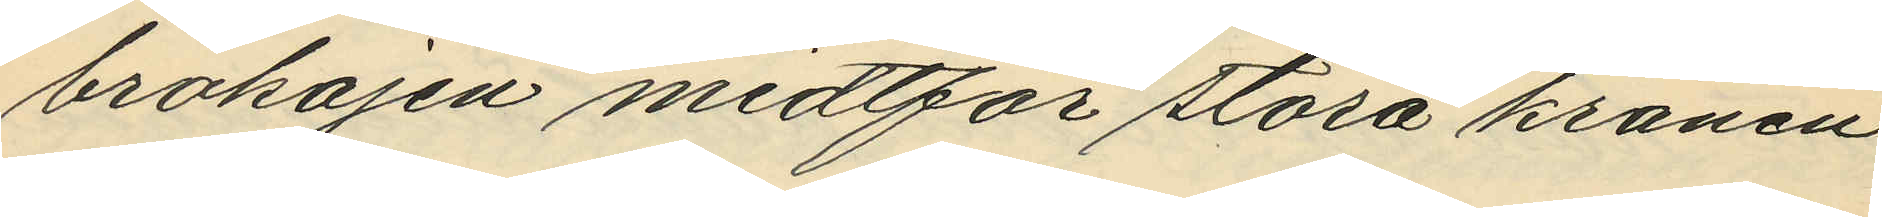brokajen midtför stora kranen
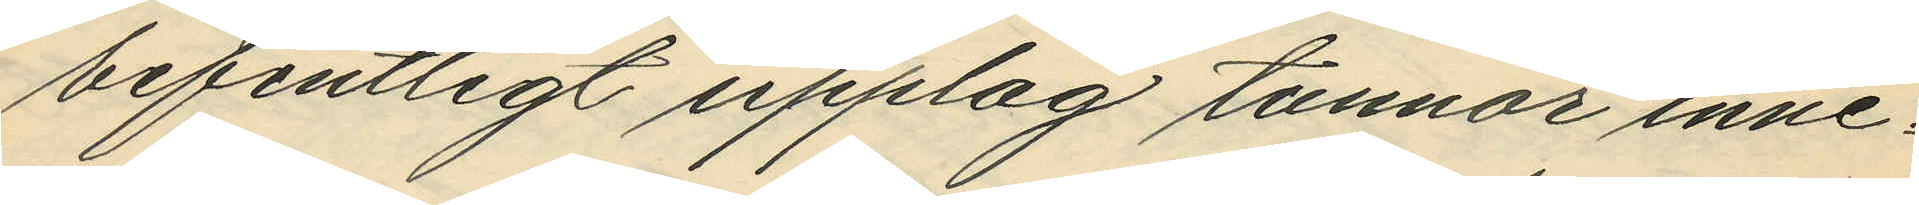befintligt upplag tunnor inne¬
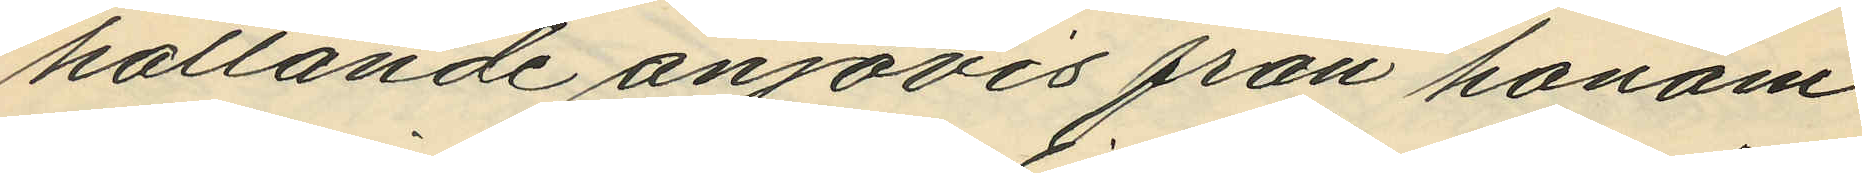hållande anjovis från honom
